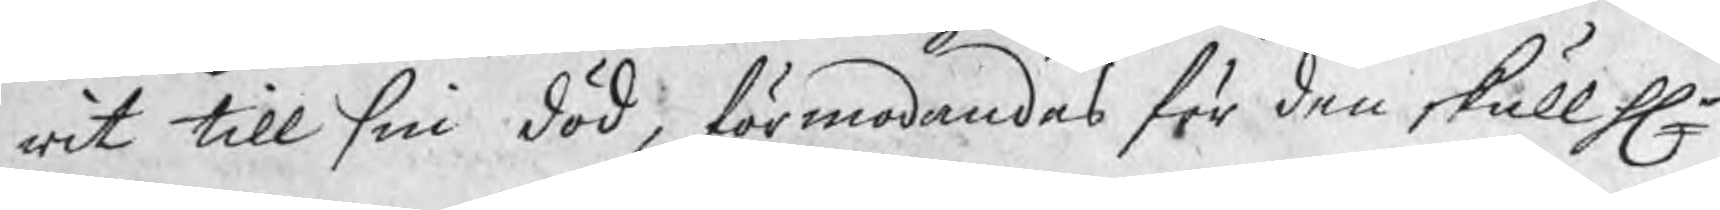rit till sin död, förmodandes för den skull Hr
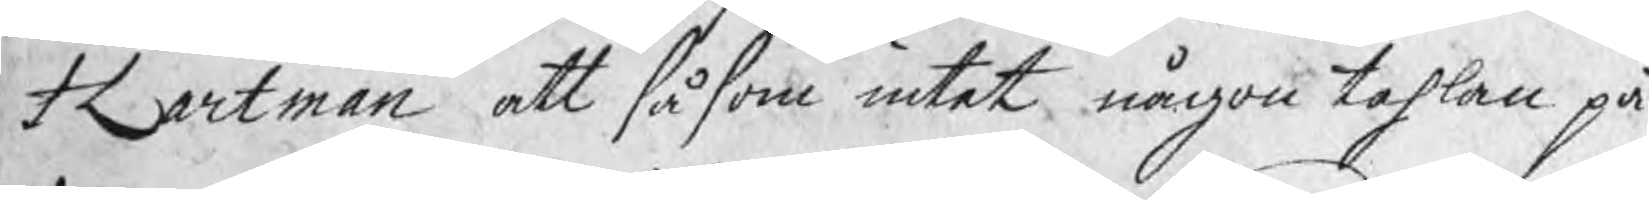Hartman att såsom intet någon tahlan på
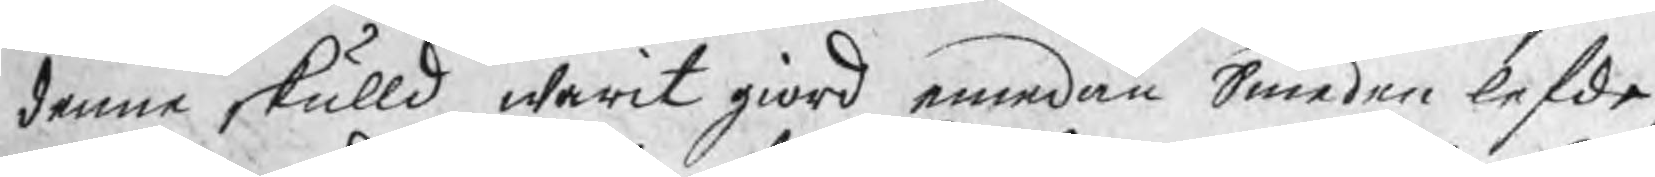denne skulld warit giord emedan Smeden lefde
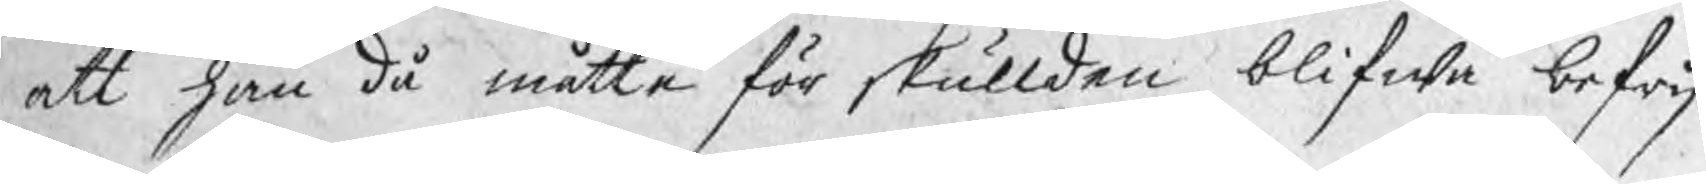att han då måtte för skullden blifwa befrij¬
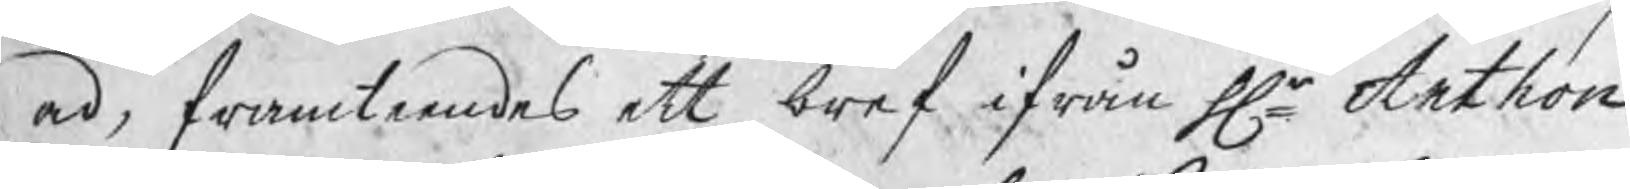ad, framteendes ett bref ifrån Hr Anthon
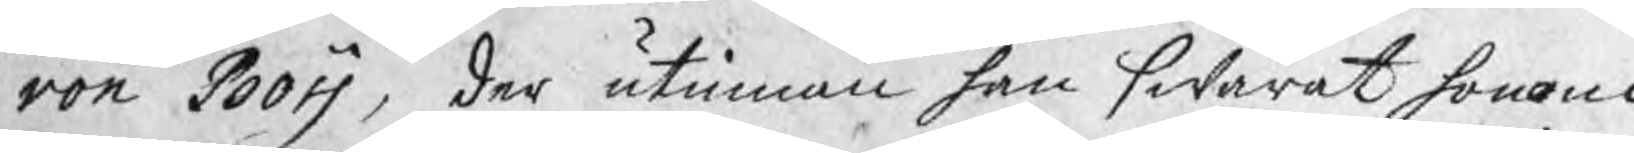von Boij, der utinnan han swarat honom
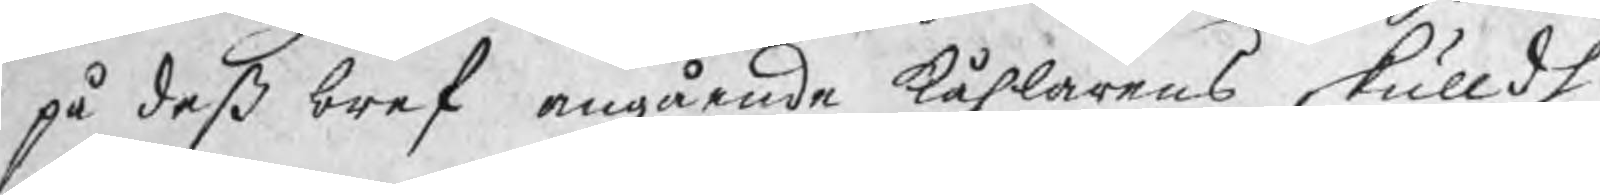på deß bref angående kåhlarens skulldh,
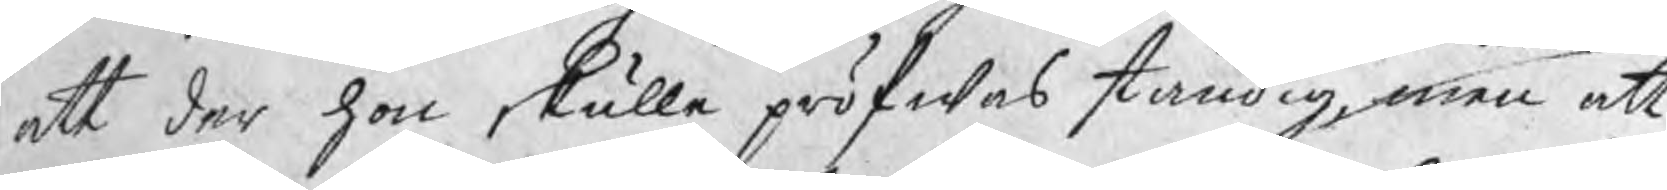att der hon skulle pröfwas ständig, men att
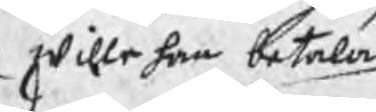wille han betala
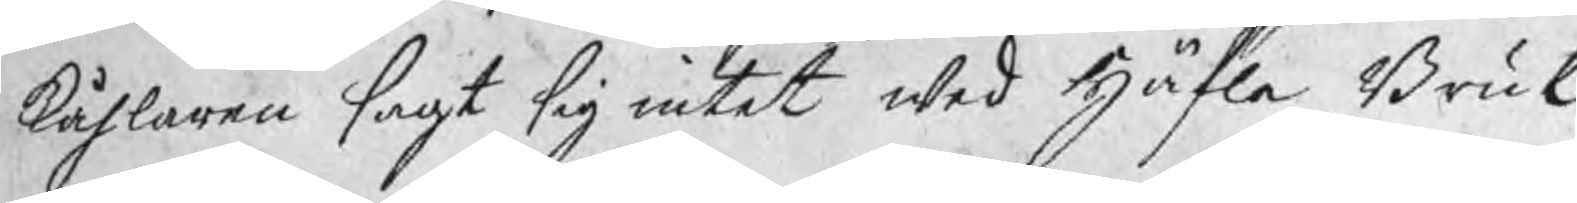kåhlaren sagt sig intet wed Häfla Bruk
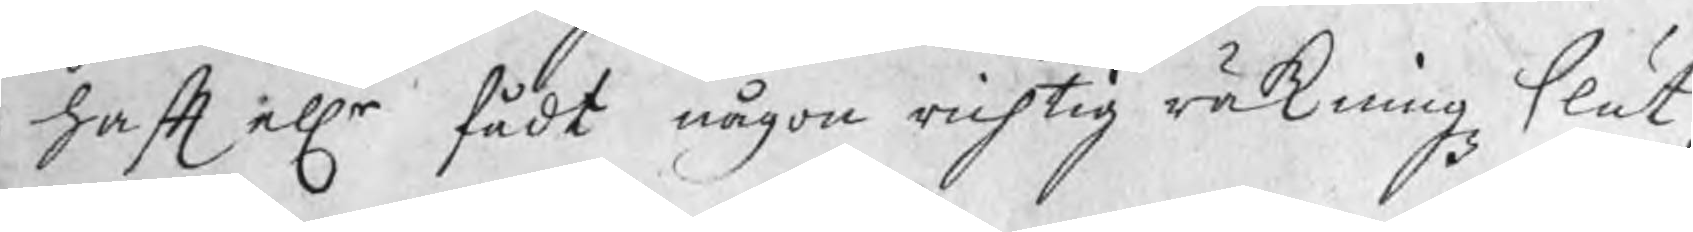haft ellr fådt någon richtig räkningz slut,
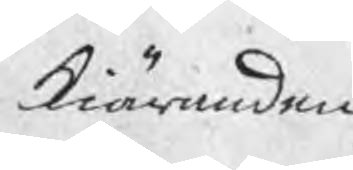kiäranden
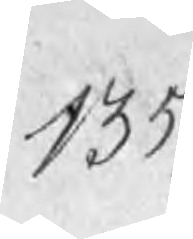135
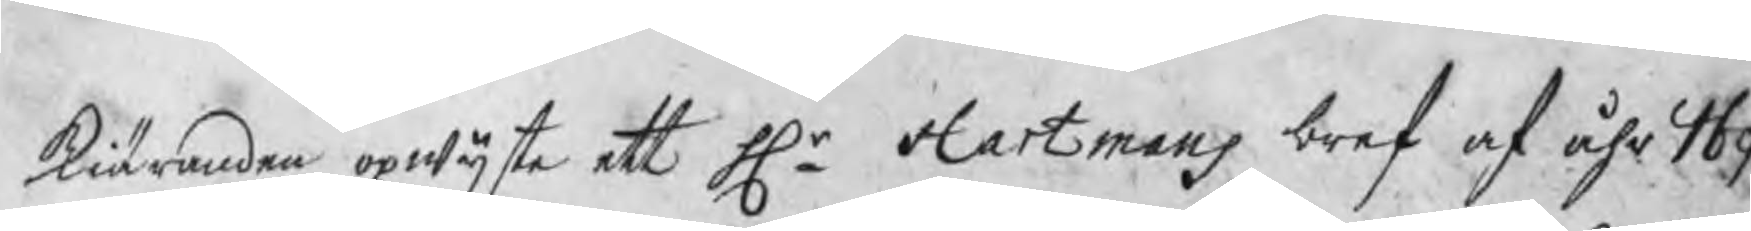kiäranden opwijste ett Hr Hartmans bref af åhr 169
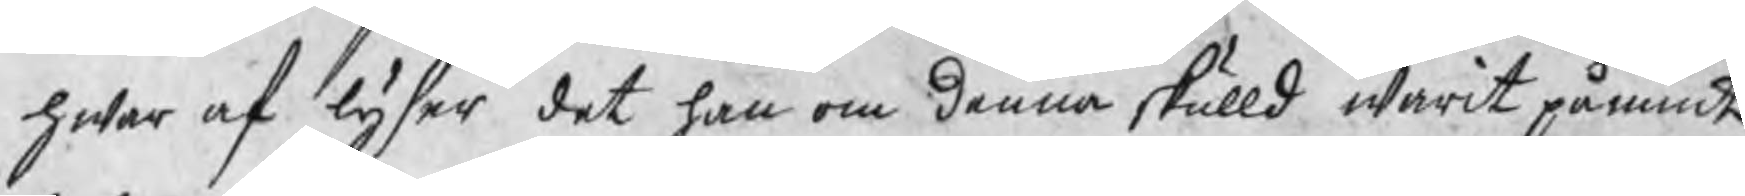hwar af lyser det han om denna skulld warit påmint
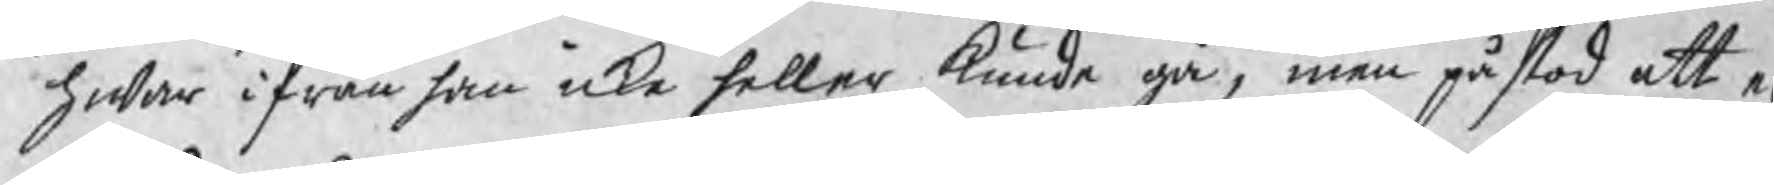hwar ifrån han icke heller kunde gå, men påstod att e
